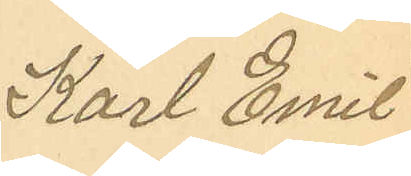Karl Emil
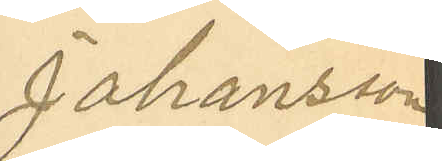Johansson
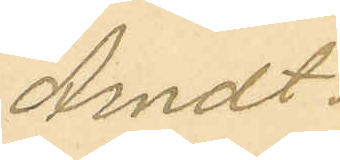Arndt.
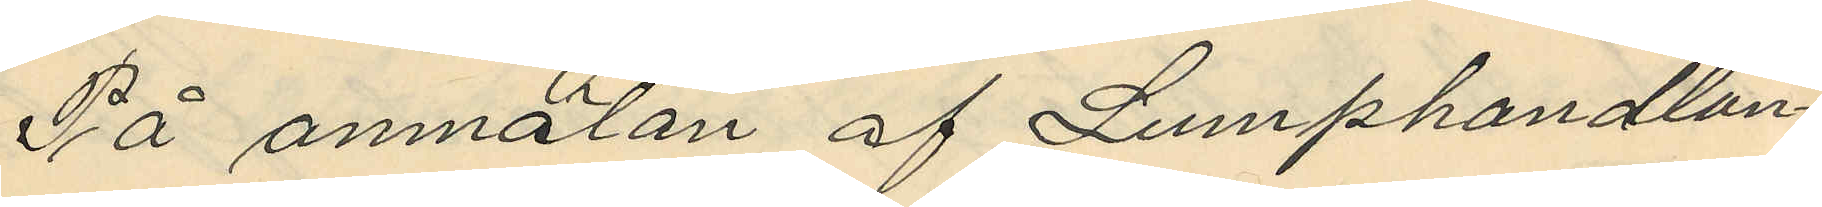På anmälan af Lumphandlan¬
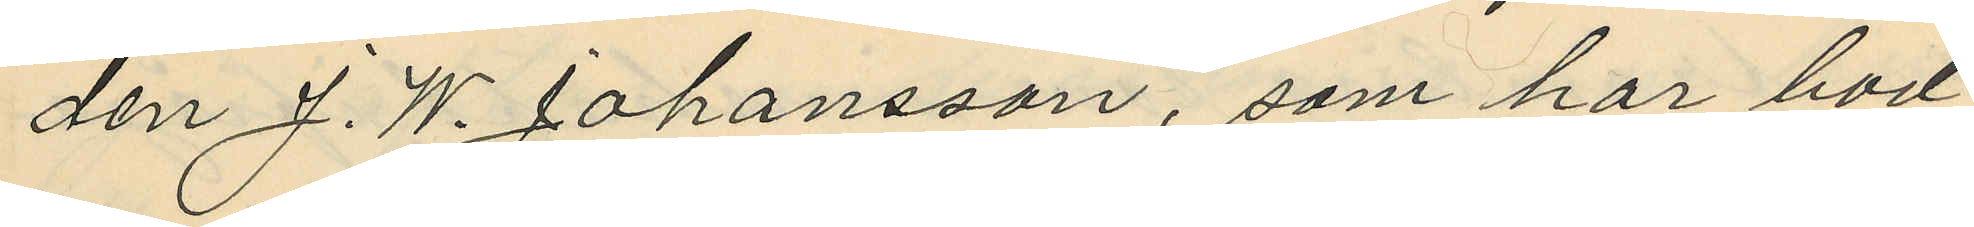den J. W. Johansson, som har bod
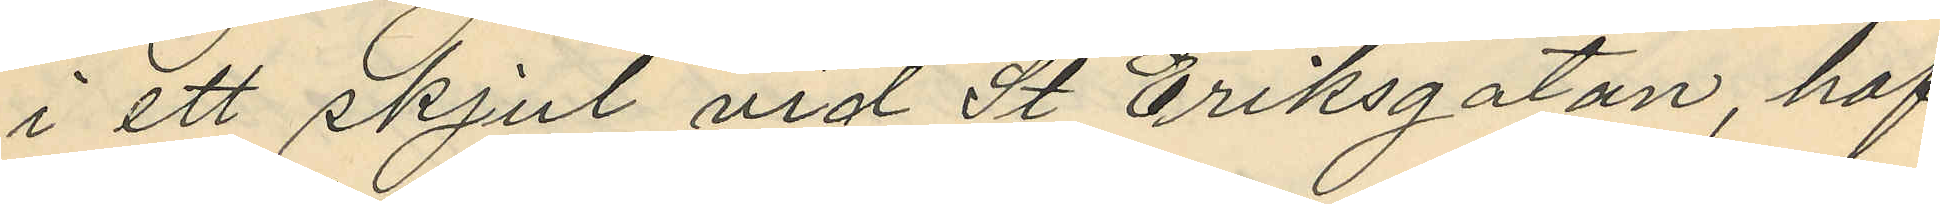i ett skjul vid St Eriksgatan, haf¬
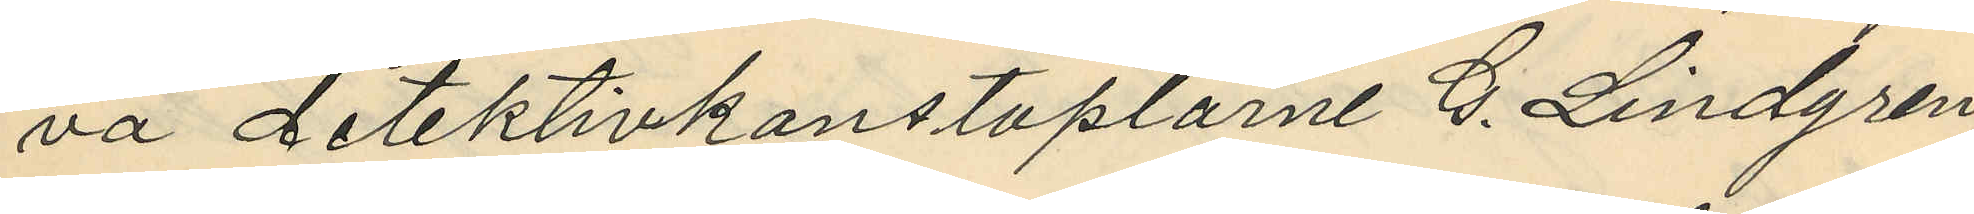va detektivkonstaplarne G. Lindgren
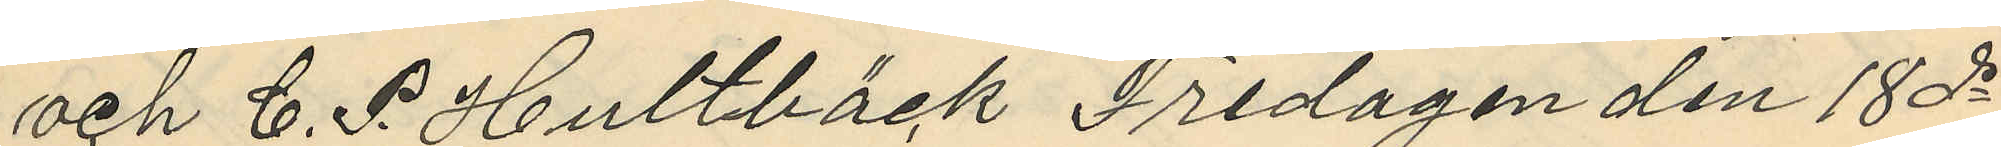och C. P. Hultbäck Fredagen den 18 ds
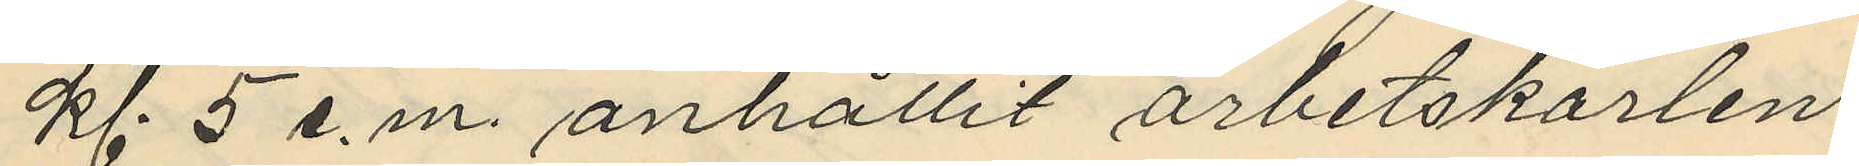kl. 5 e.m. anhållit arbetskarlen
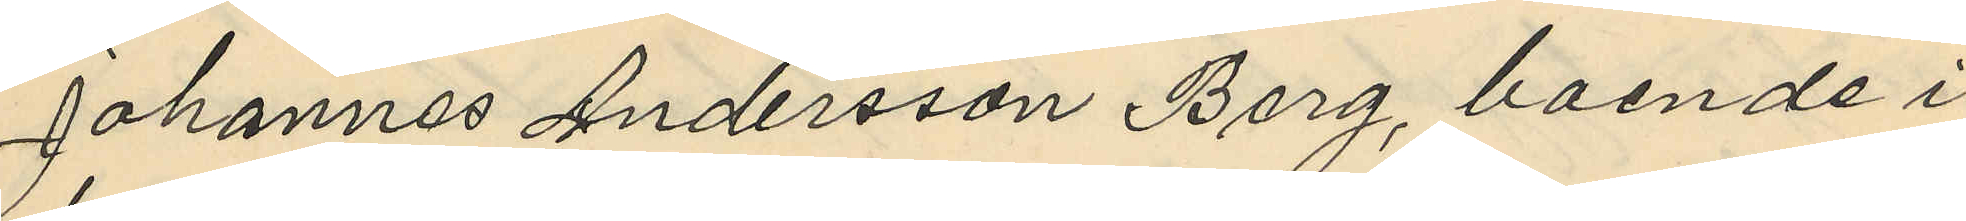Johannes Andersson Berg, boende i
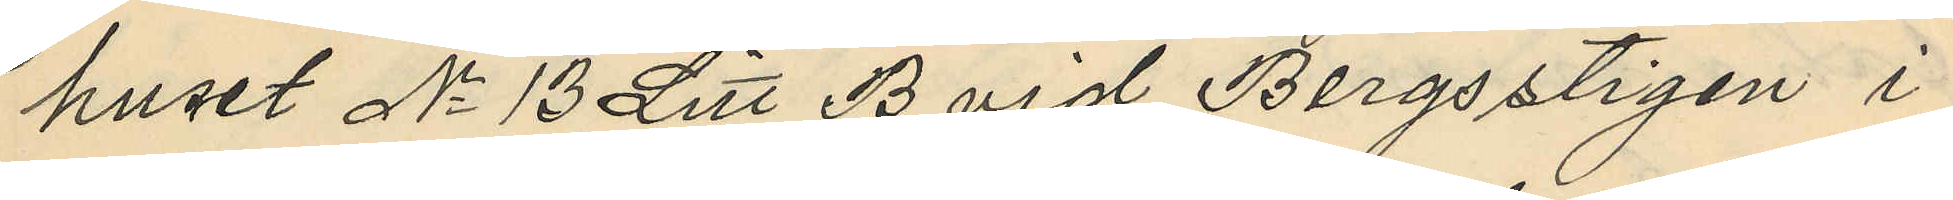huset No 13 Litt B vid Bergsstigen i
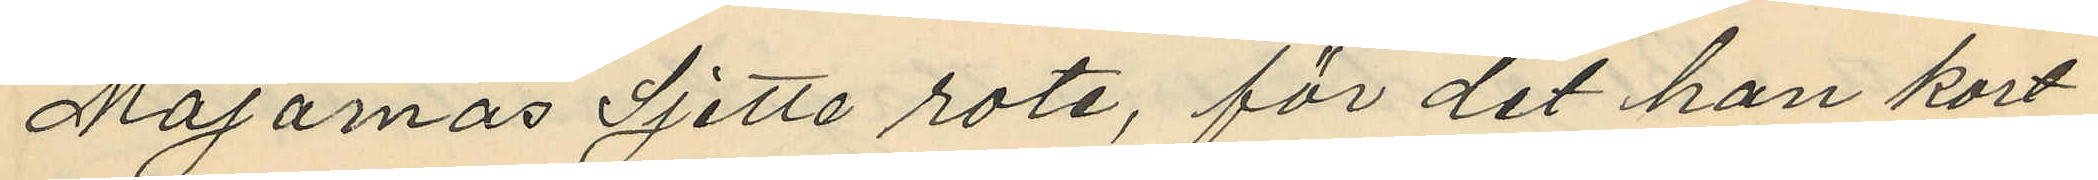Majornas Sjette rote, för det han kort
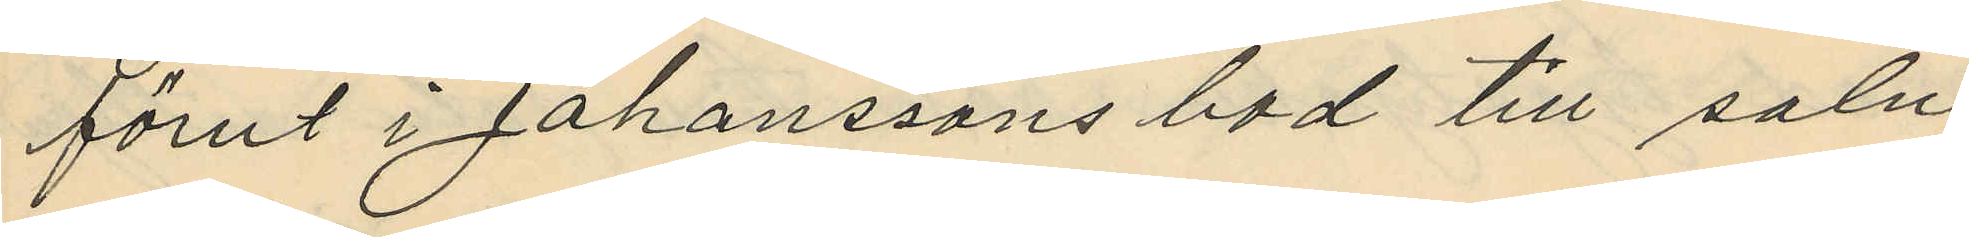förut i Johanssons bod till salu
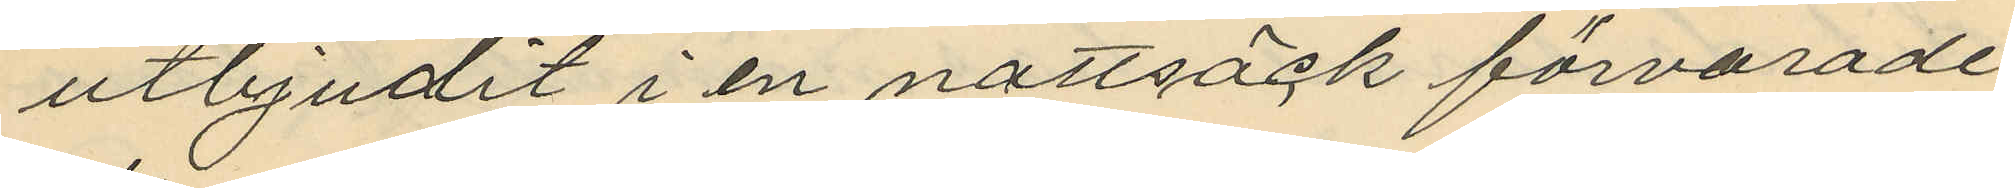utbjudit i en nattsäck förvarade
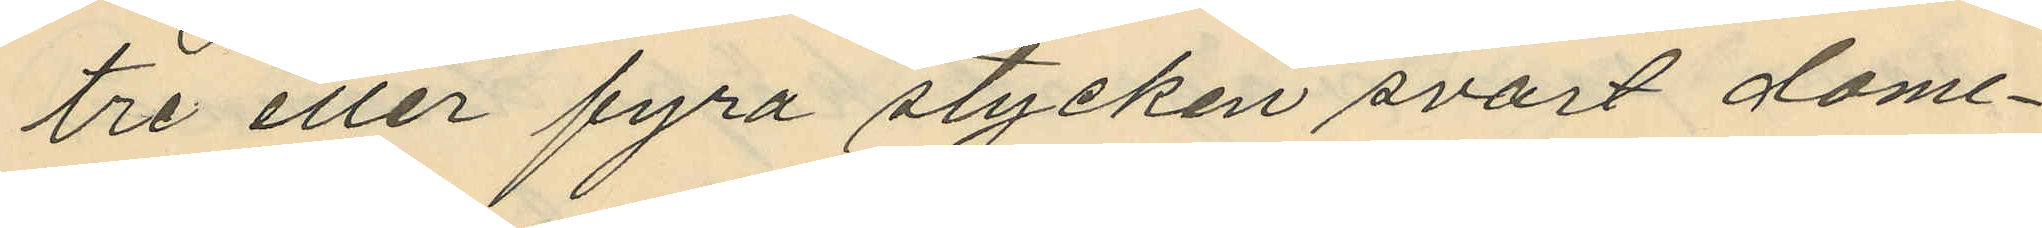tre eller fyra stycken svart dome¬
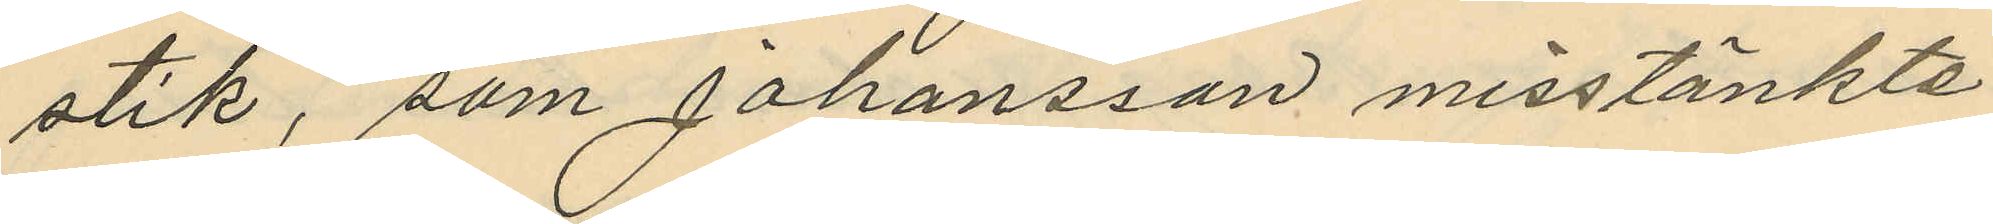stik, som Johansson misstänkte
